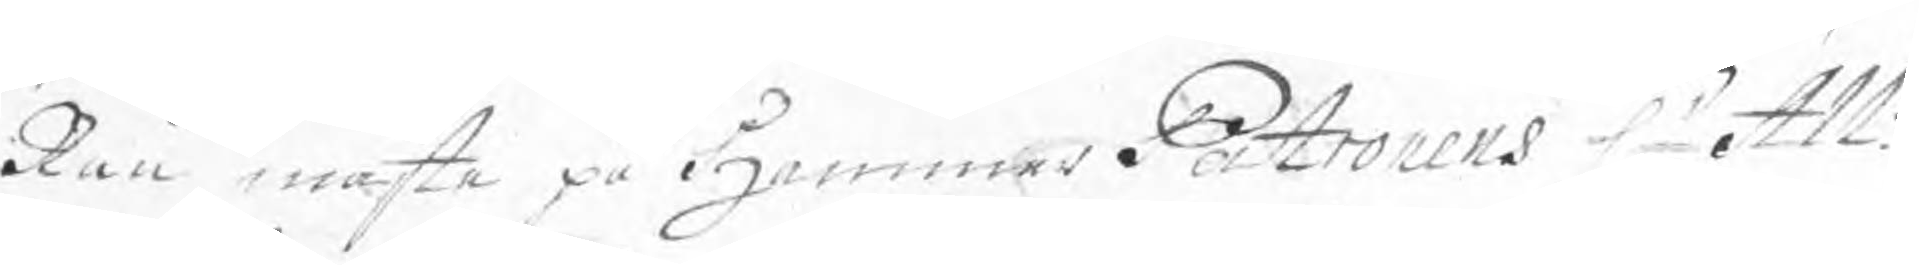Rau måste på HammarPatronens Hr All:
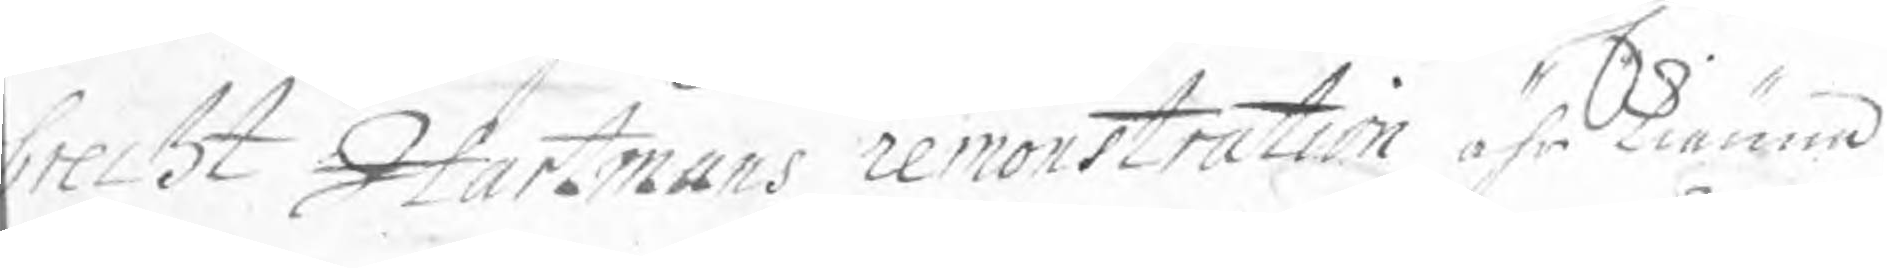brecht Hartmans remonstration ährkiänna
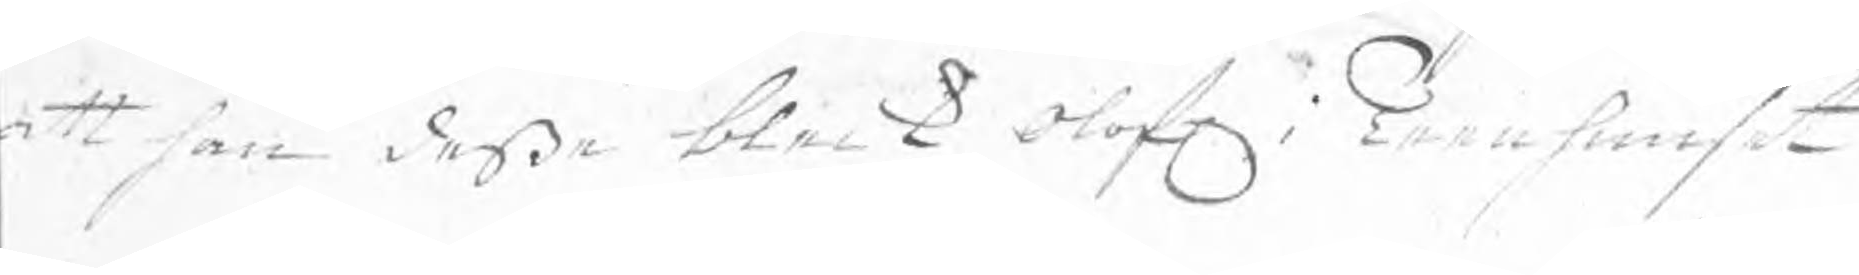att han deße bleck Olof. i Tennhuuset
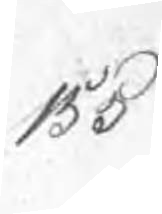155
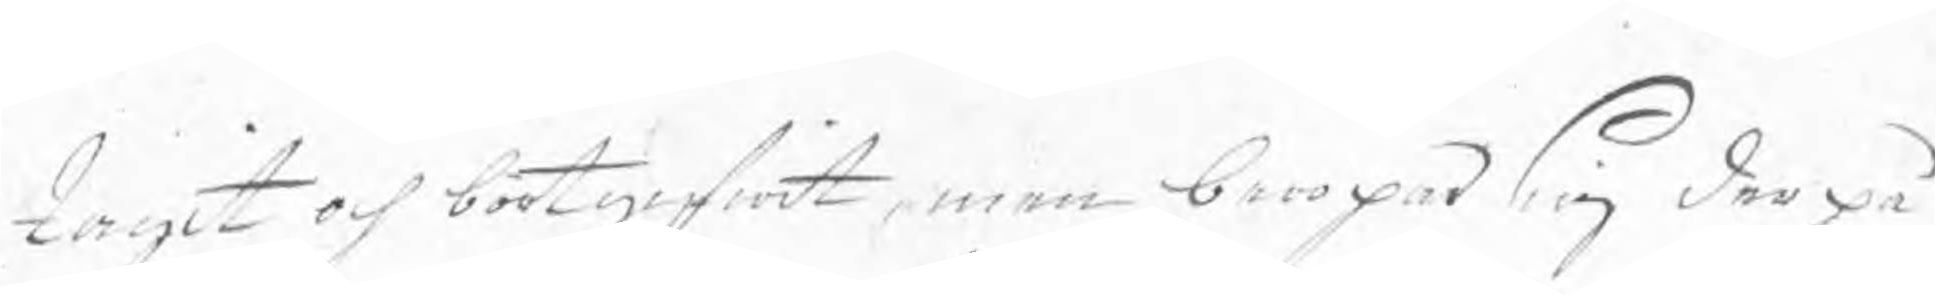tagit och bortgifwit, men beropar sig derpå
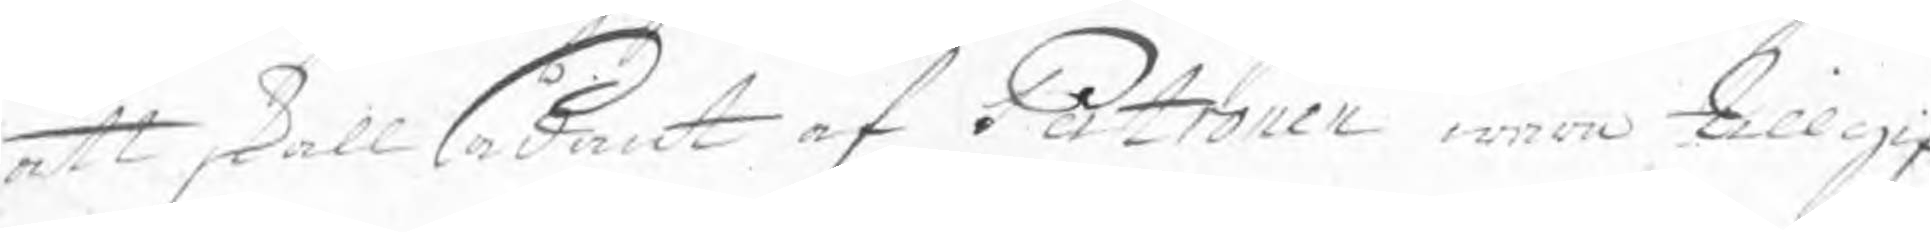att skall sådant af Patronen wara tillgif¬
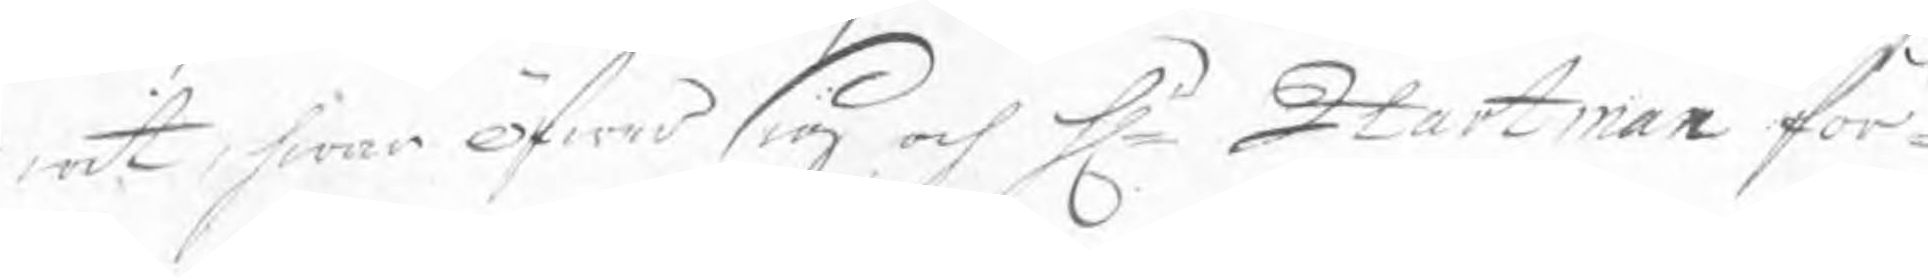wit, hwar öfwer sig och Hr Hartman för¬
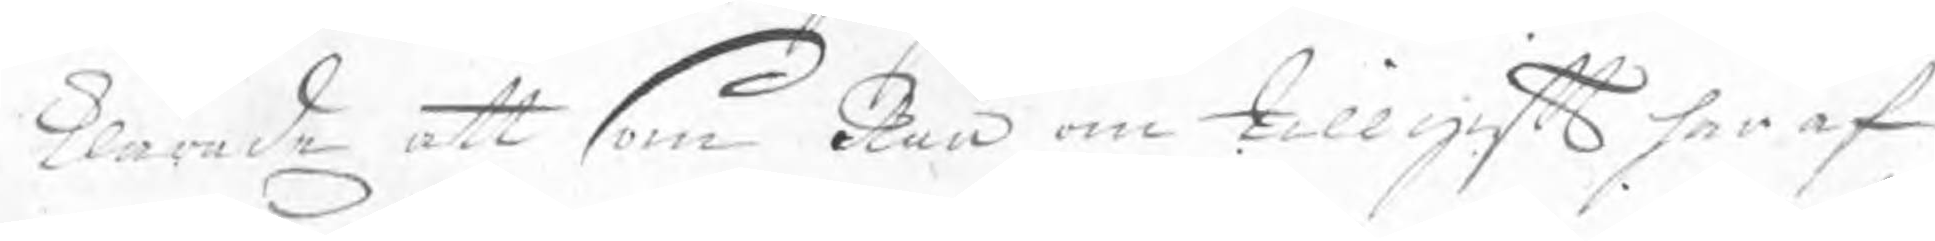klarade att som Rau om tillgift häraf
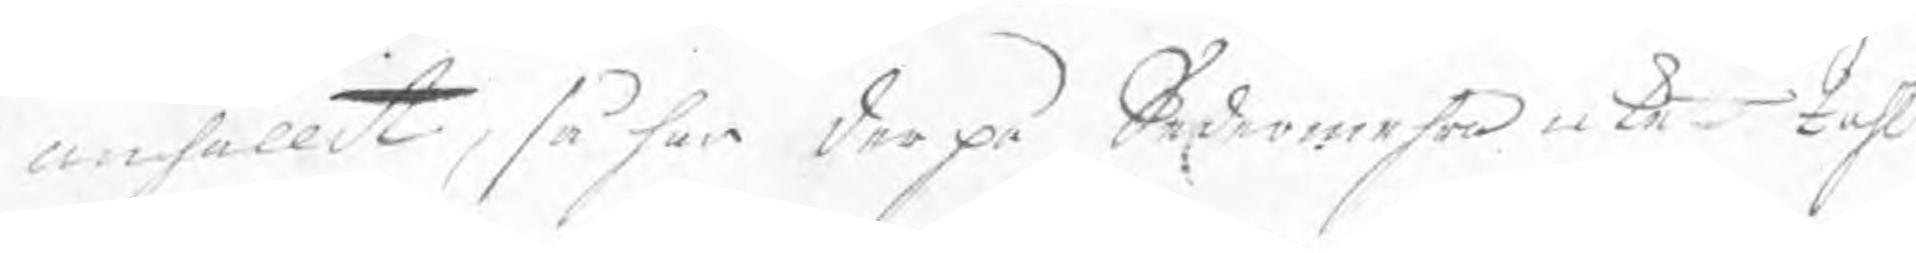anhållit, så har derpå Sedermehra icke tahlt
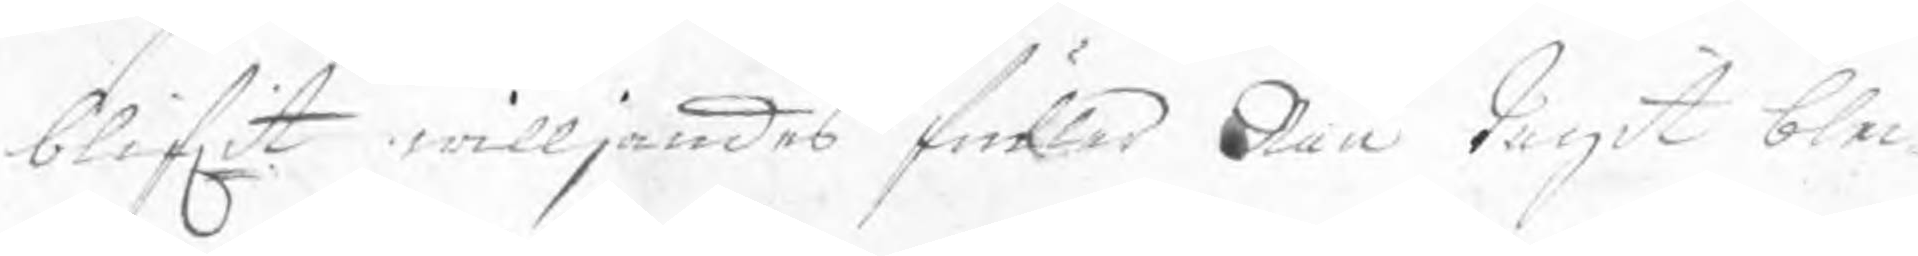blifwit willjandes fuller Rau tagit blec¬
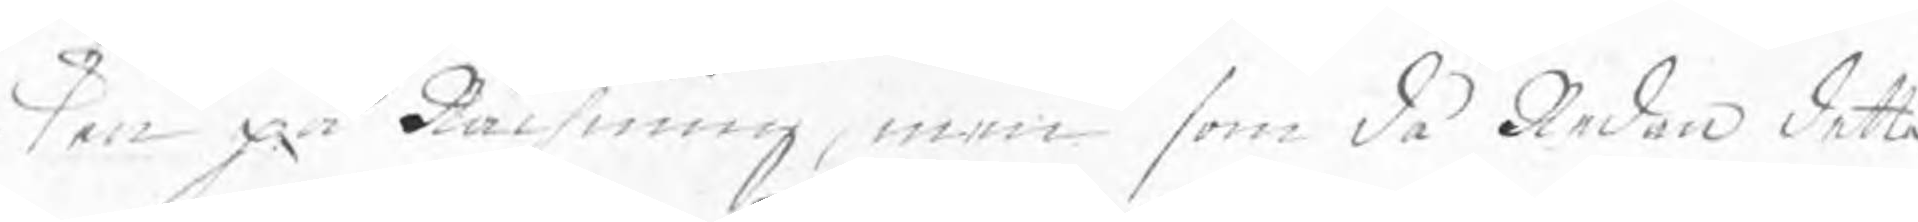ken på Rächning, men som då Redan detta
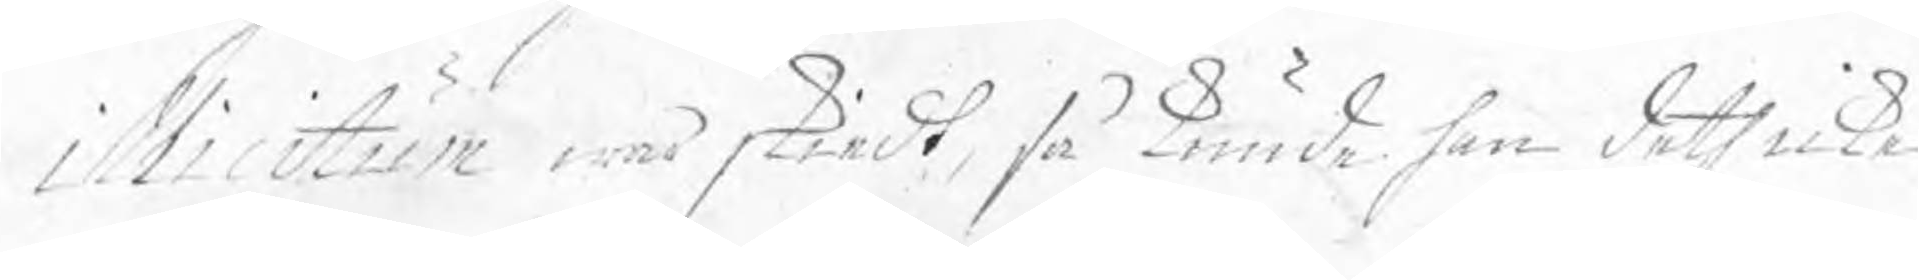i Wicitum war skiedt, så kunde han deth icke
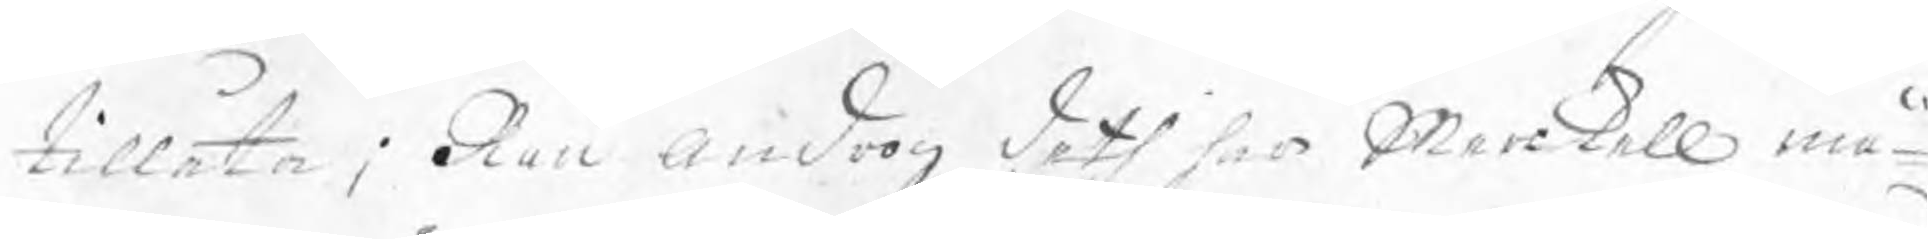tillåta: Rau androg deth han Merkell må
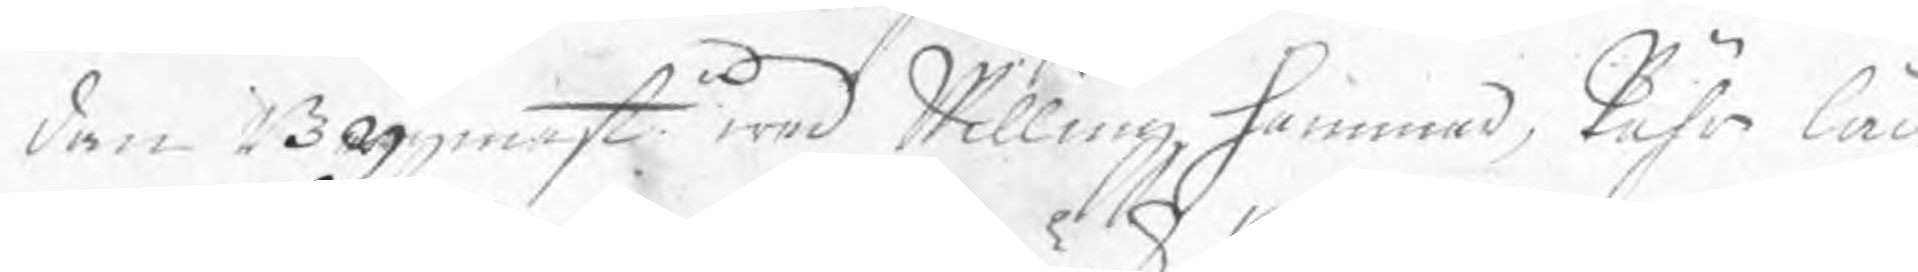den Bygmeste wed Willingzhammar, Pähr låg
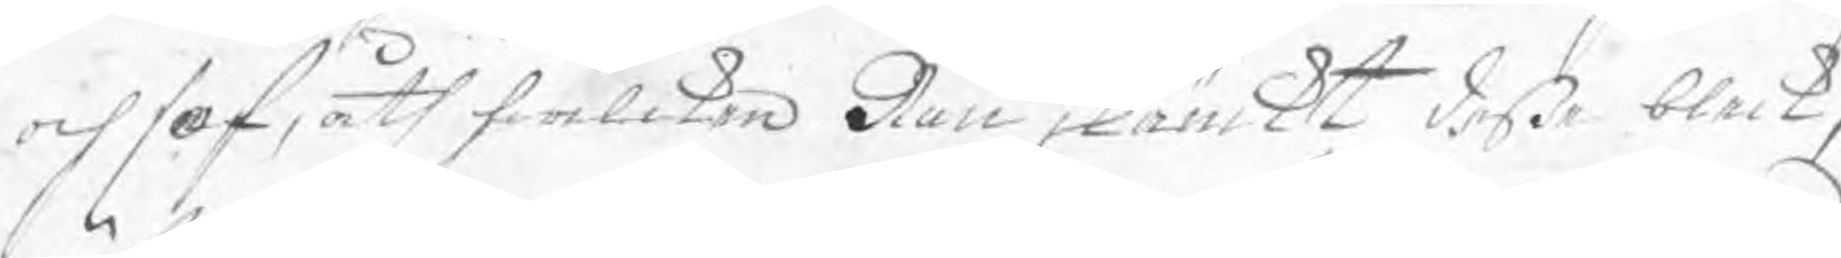och sof, åth hwilken Rau skänckt deße bleck,
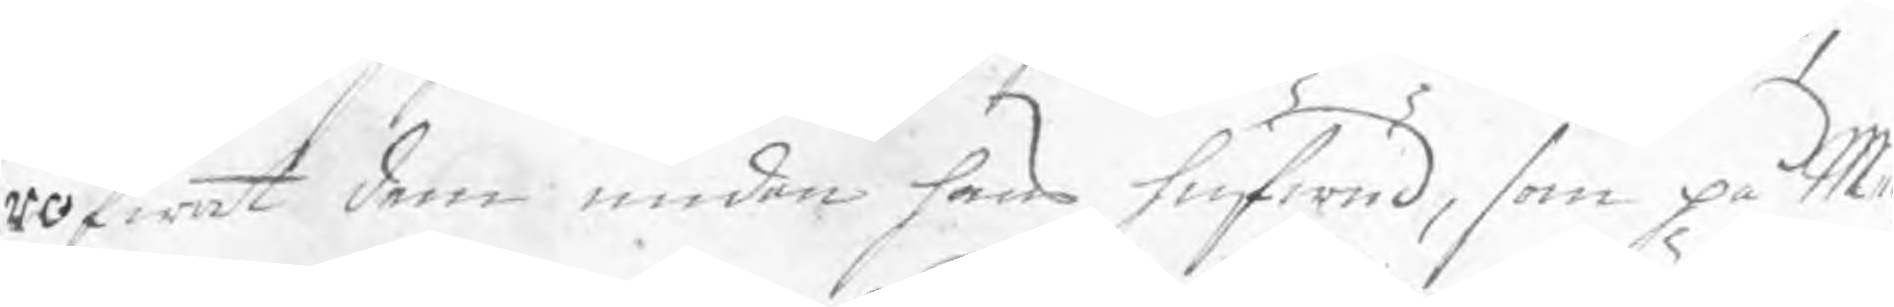röfwat dem unden hans hufwud, som på Mer¬
